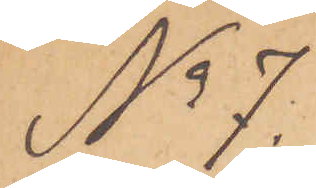No 7.
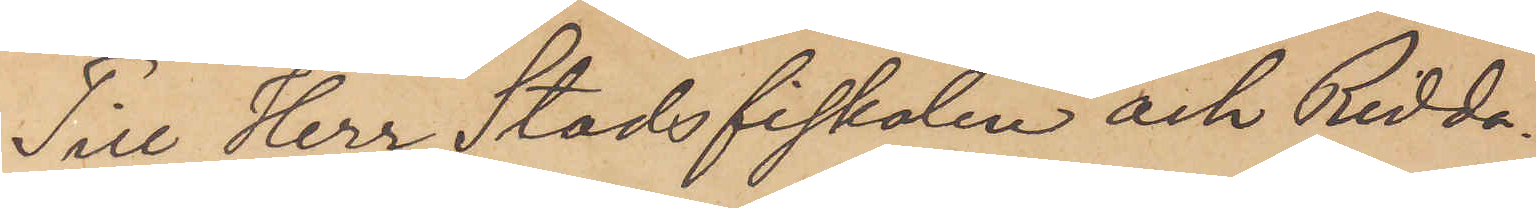Till Herr Stadsfiskalen och Ridda¬
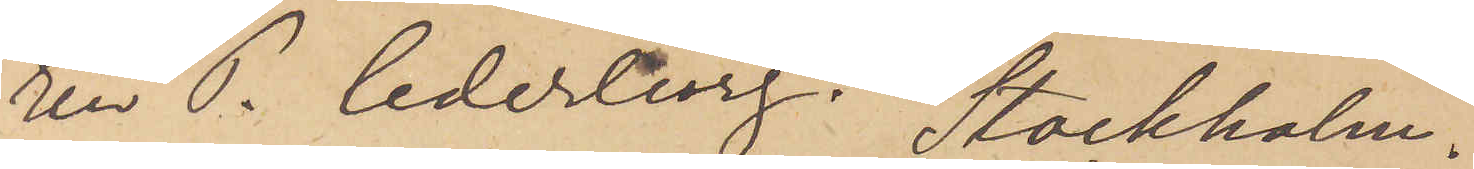ren P. Cederborg. Stockholm.
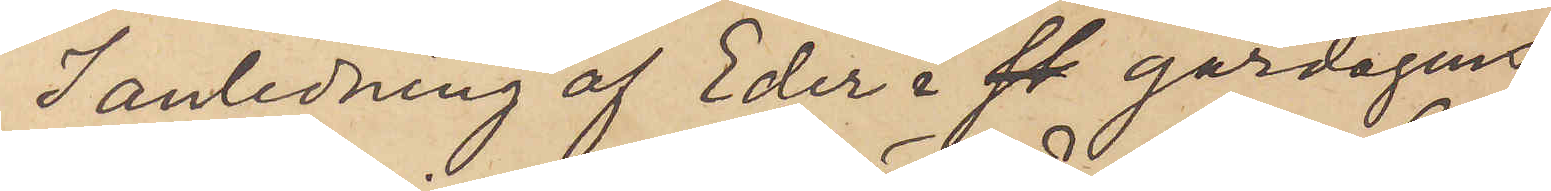I anledning af Eder i  gårdagens
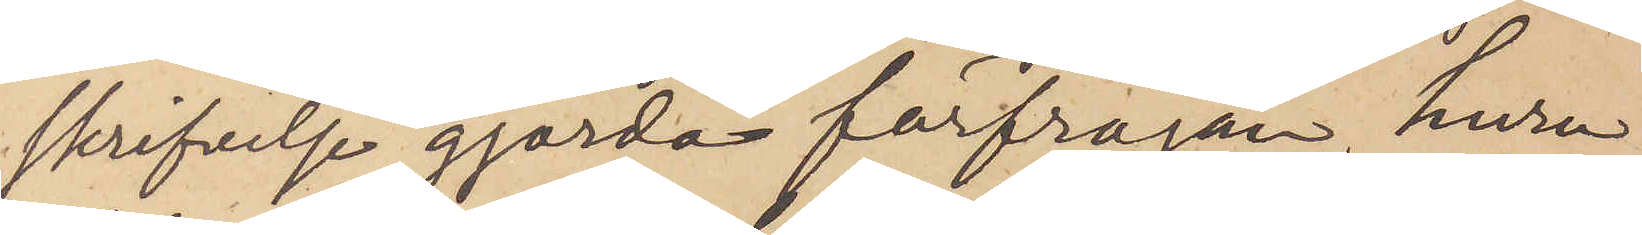skrifvelse gjorda förfrågan, huru¬
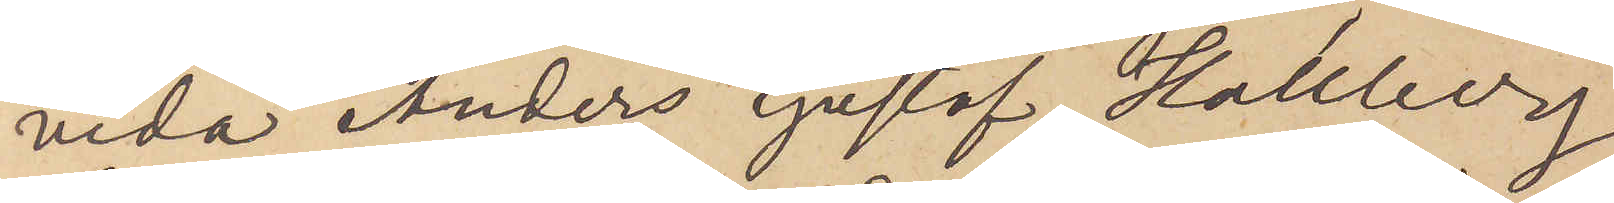vida Anders Gustaf Hallberg
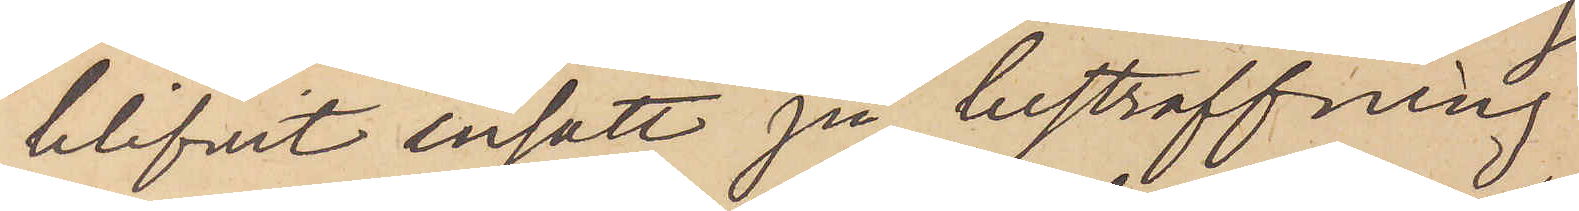blifvit insatt på bestraffning
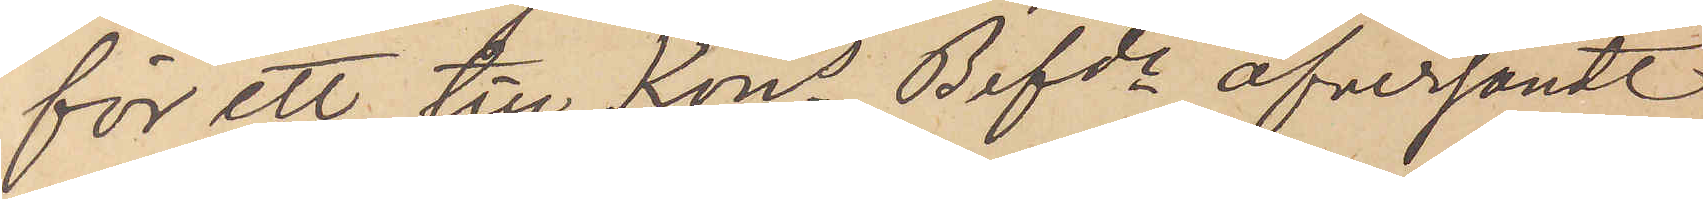för ett till Kons Befde öfversändt
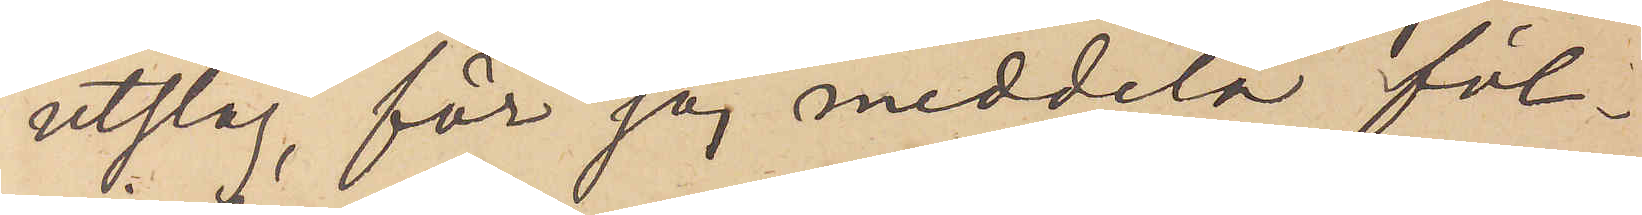utslag, får jag meddela föl¬
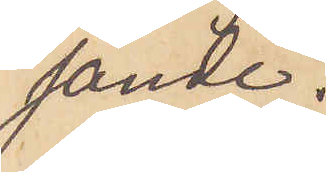jande.
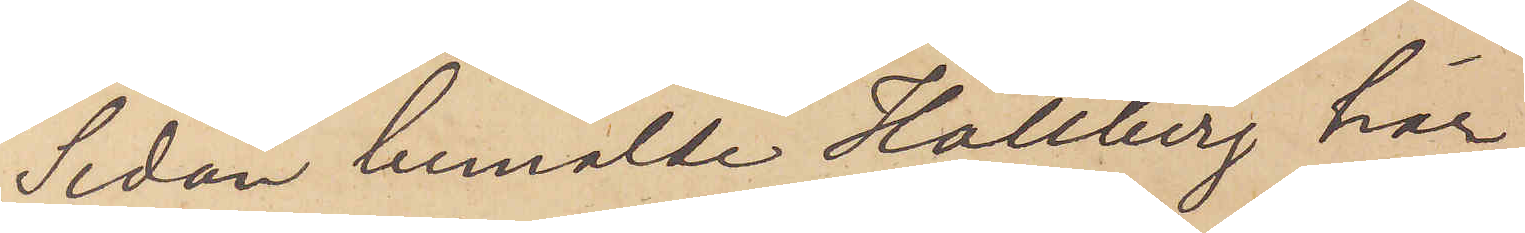Sedan bemälde Hallberg här
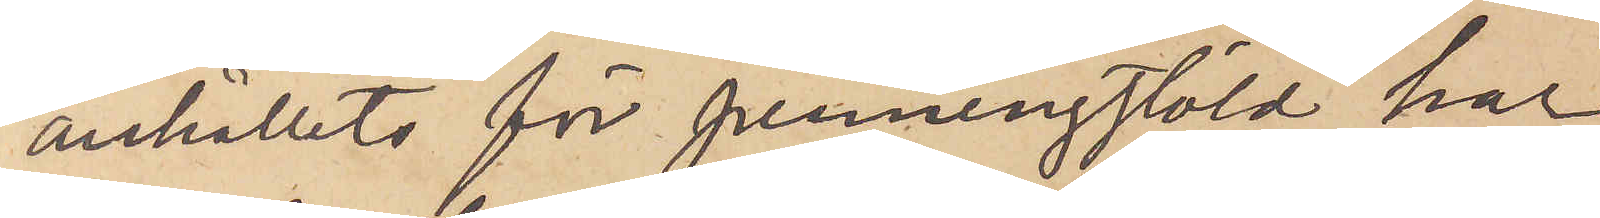anhållits för penningstöld har
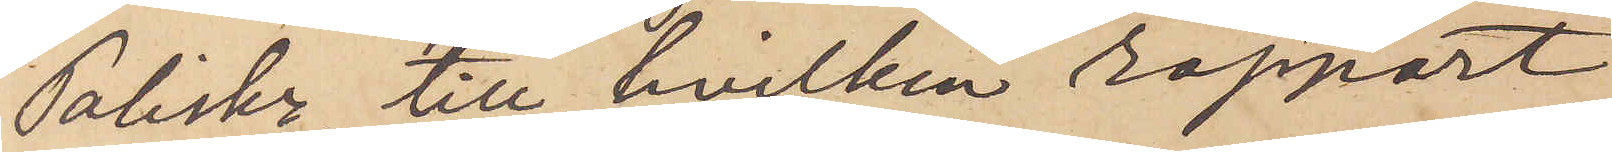Poliskr, till hvilken rapport
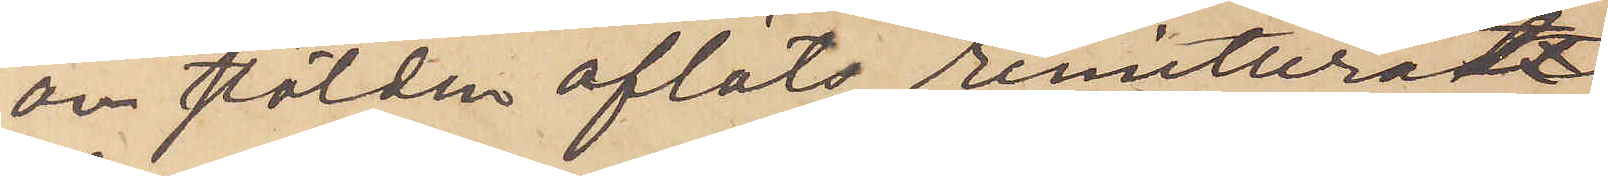on stölden afläts, remitteradt
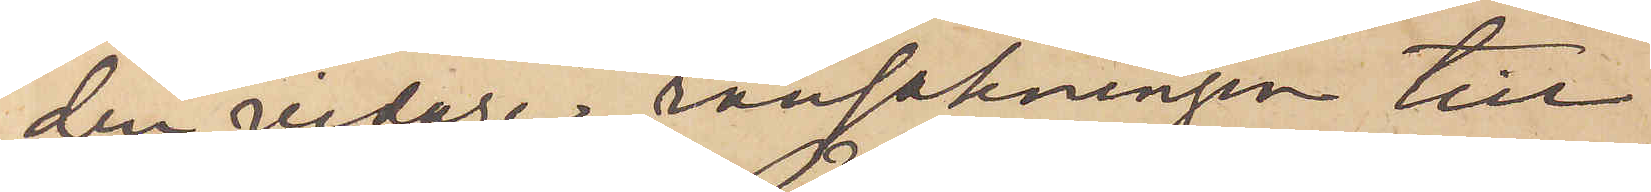den vidare ransakningen till
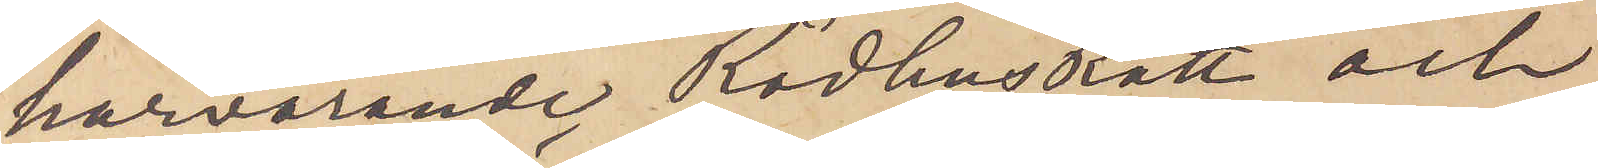härvarande Rådhusrätt och
